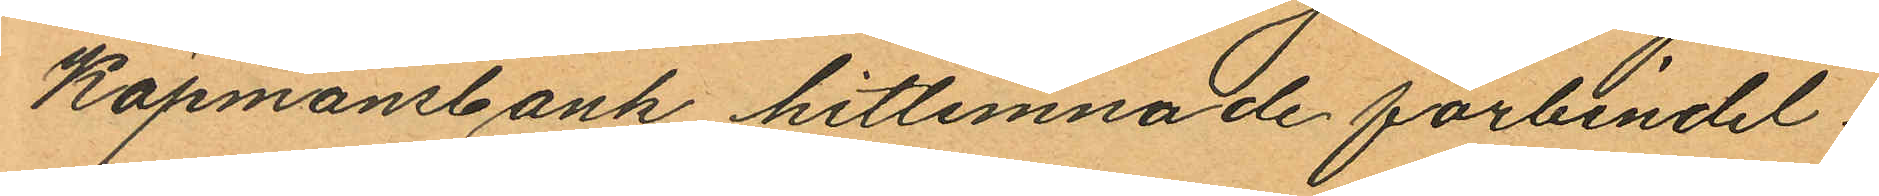Köpmansbank hitlemnade förbindel¬
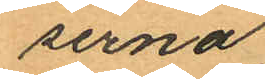serna;
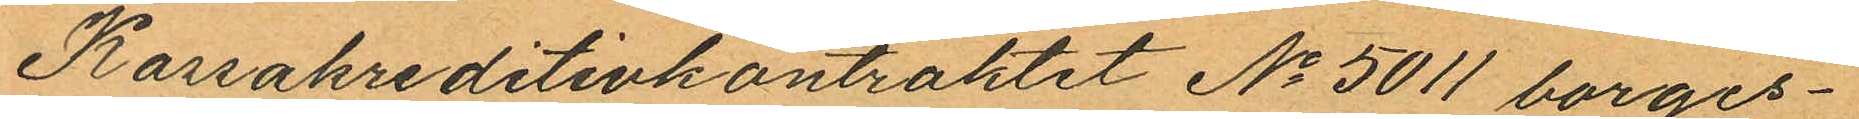Kassakreditivkontraktet No 5011 borges¬
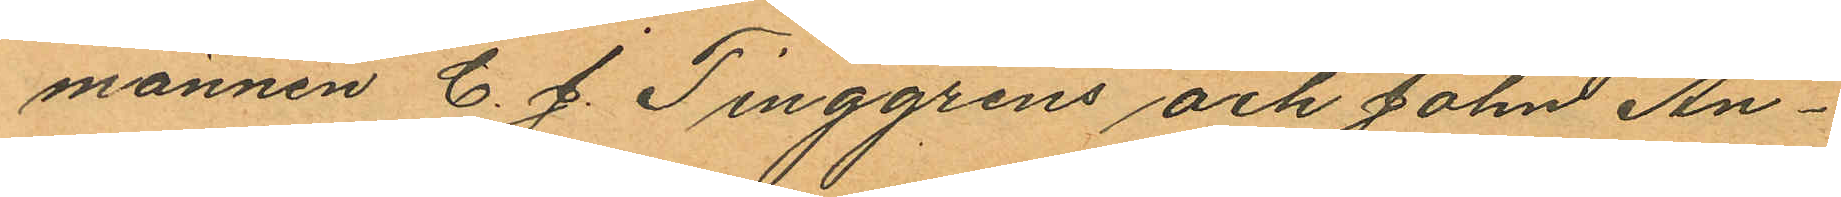männen C. J. Tinggrens och John An¬
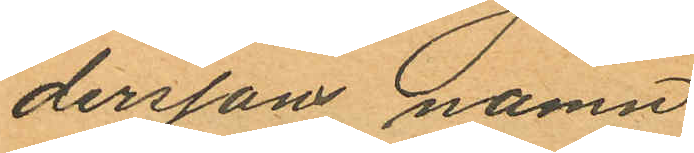derssons namn
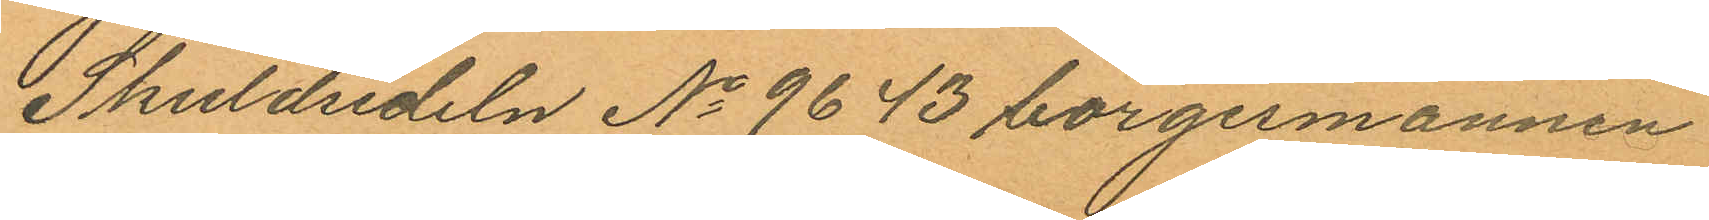Skuldsedeln No 9643 borgesmännen
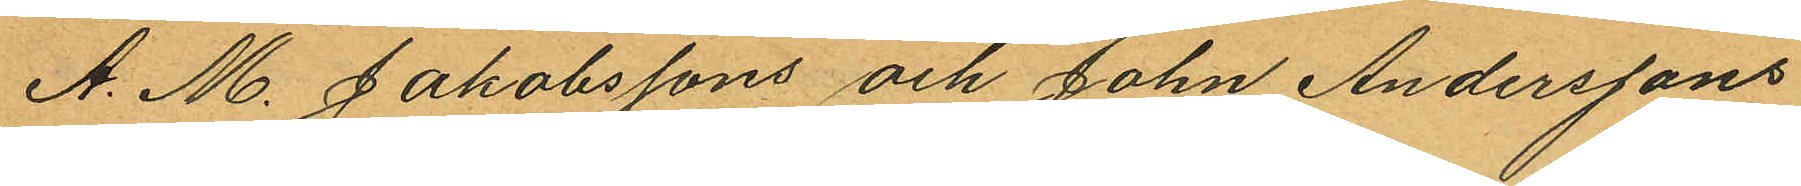A. M. Jakobssons och John Anderssons
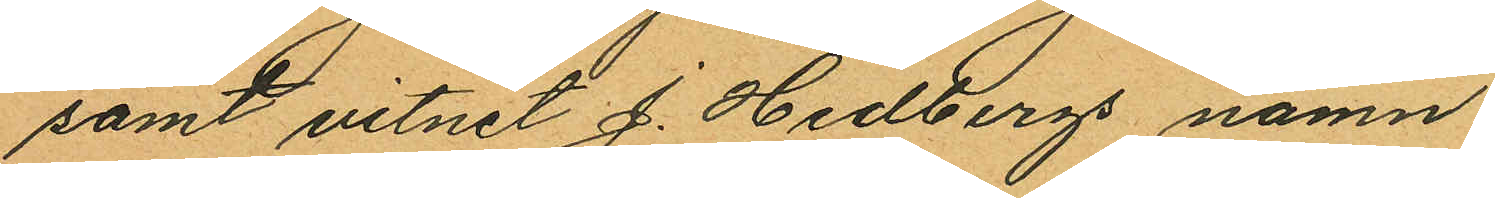samt vitnet J. Hedbergs namn.
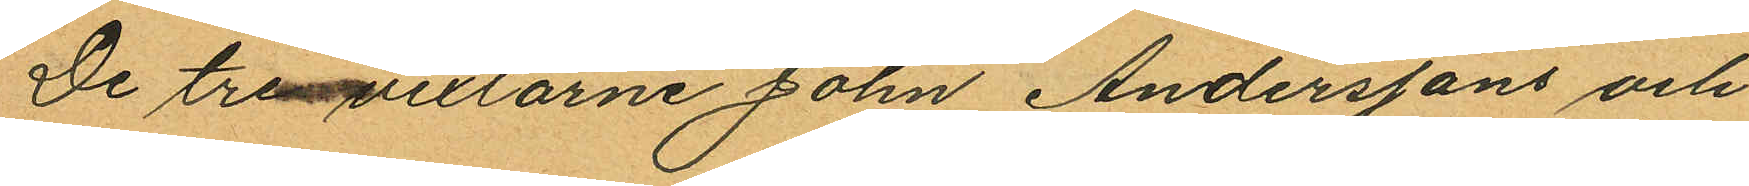De tre vexlarne John Anderssons och
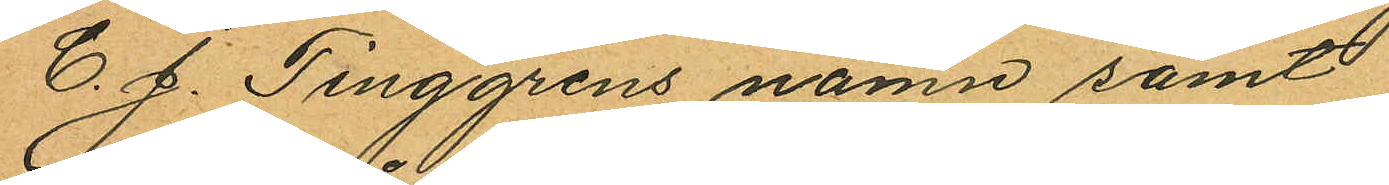C. J. Tinggrens namn samt
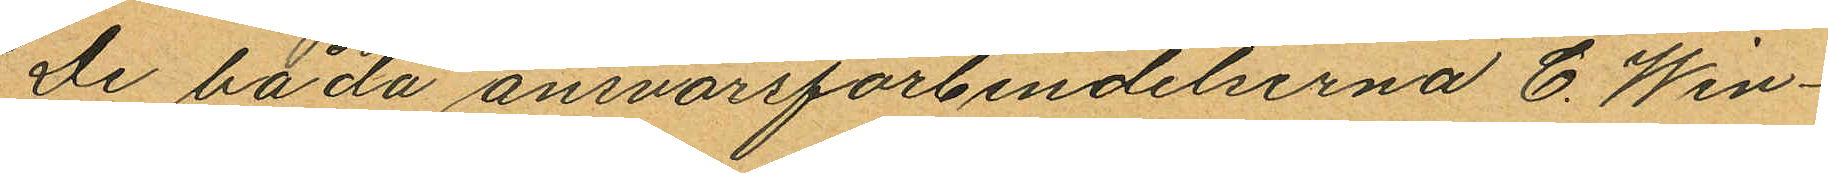De båda ansvarsförbindelserna C. Win¬
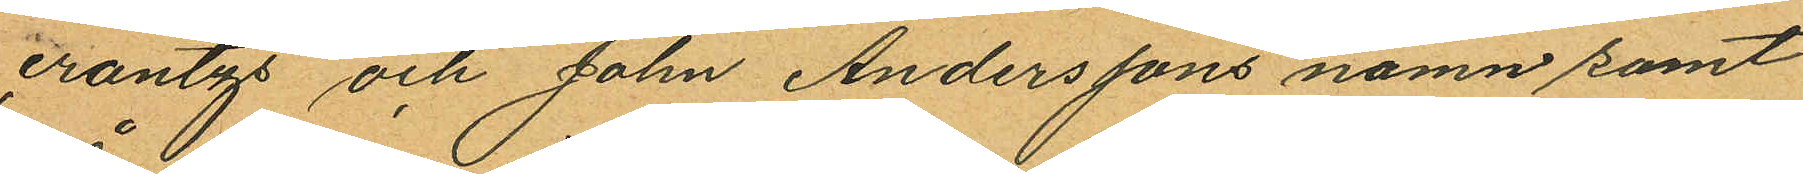crantzs och John Anderssons namn samt
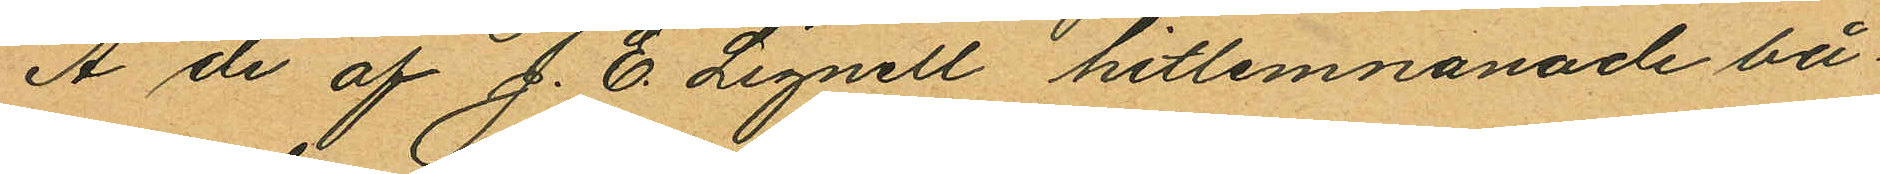Å de af J. E. Lignell hitlemnanade bå
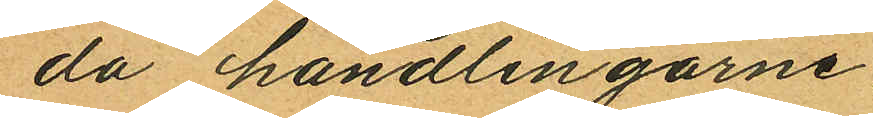da handlingarne:
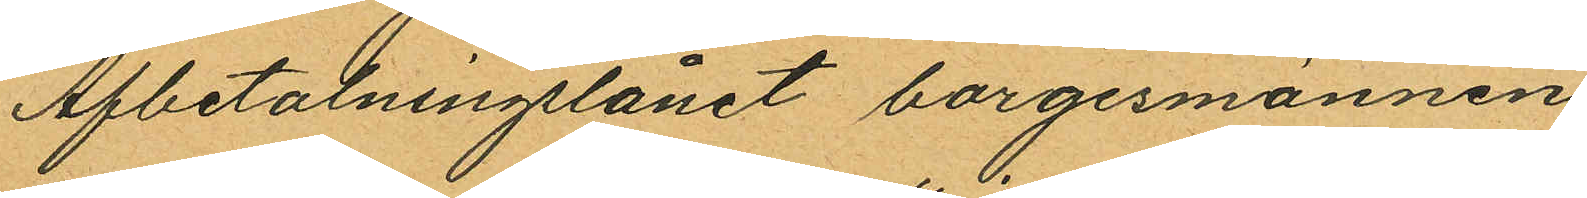Afbetalningslånet borgesmännen
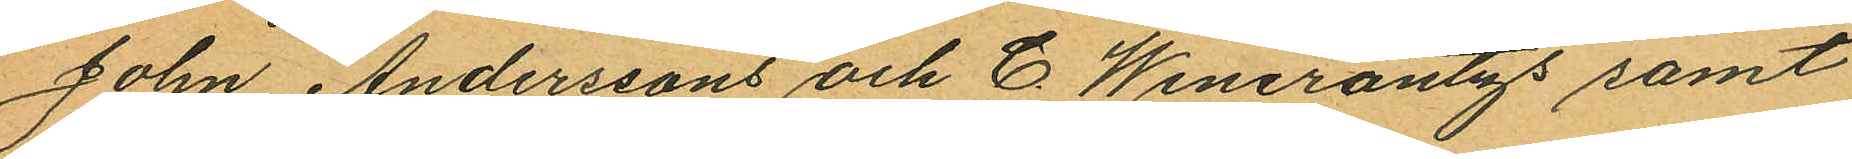John Anderssons och C. Wincrantzs samt
